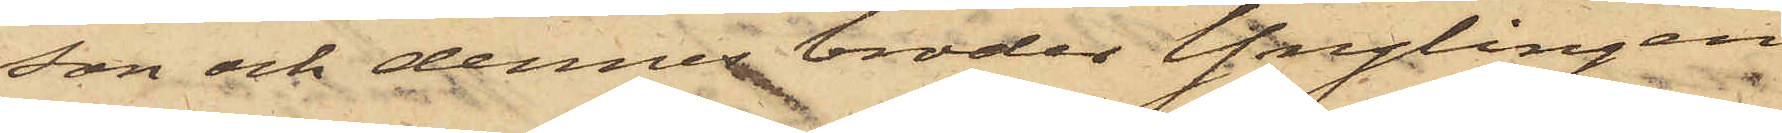son och dennes broder Ynglingen
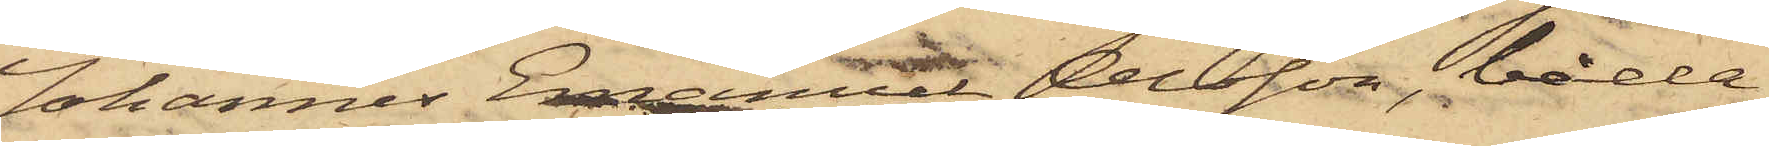Johannes Emanuel Olsson, båda
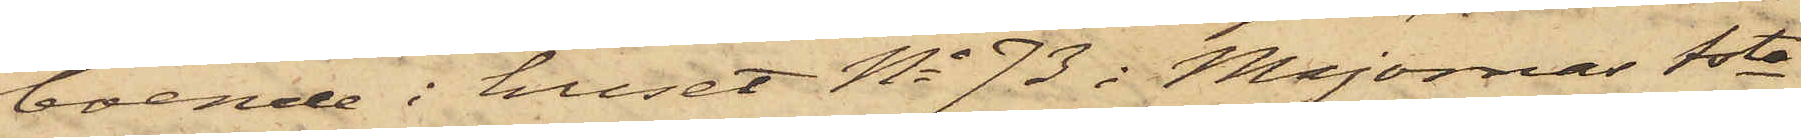boende i huset No 73 i Majornas 1sta
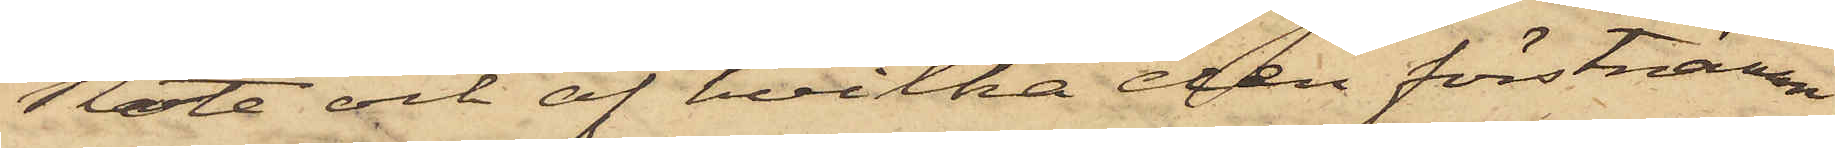Rote och af hvilka den förstnämn¬
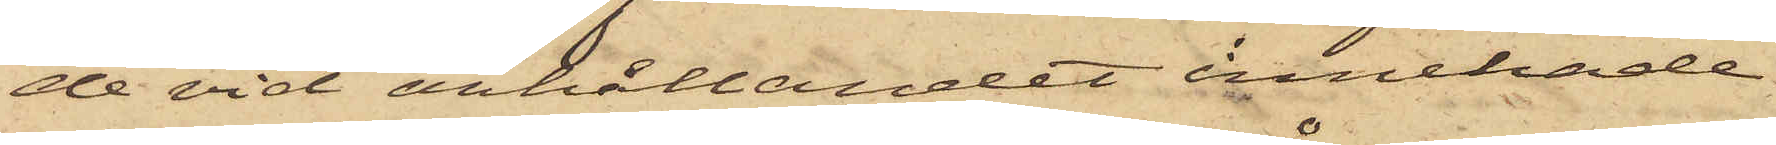de vid anhållandet innehade
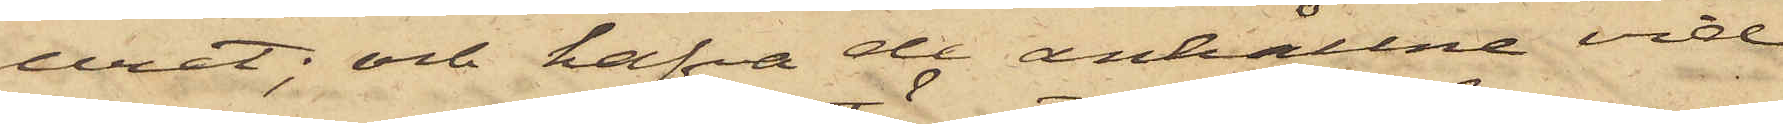uret; och hafva de anhållne vid
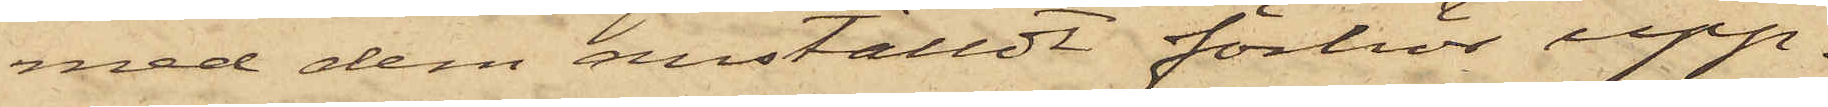med dem anställdt förhör upp¬
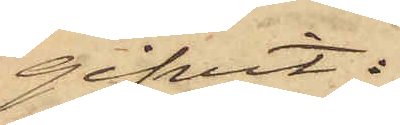gifvit:
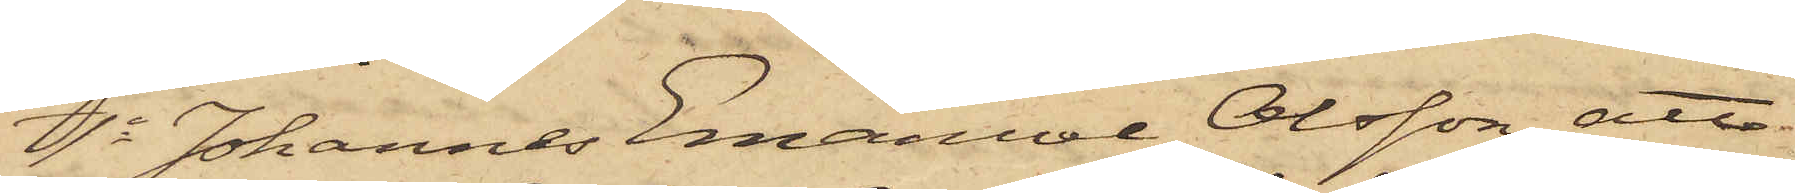1o Johannes Emanuel Olsson, att
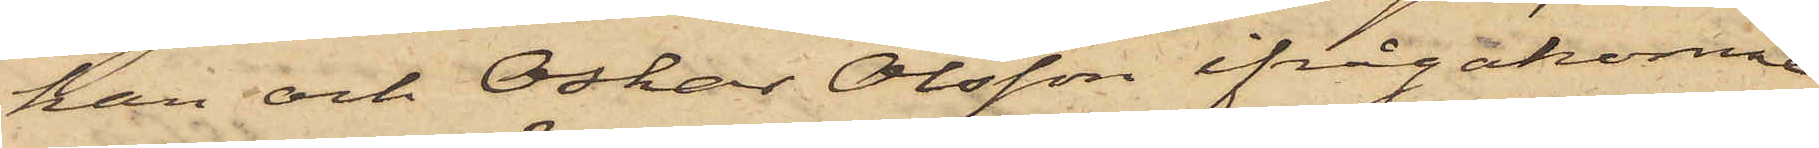han och Oskar Olsson ifrågakomne
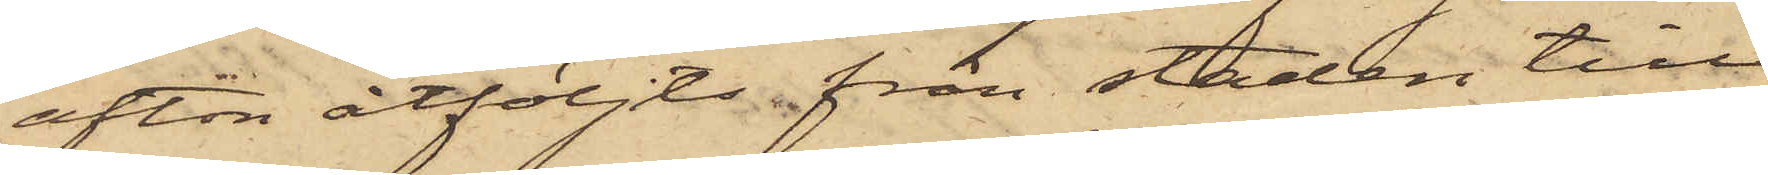afton åtföljts från staden till
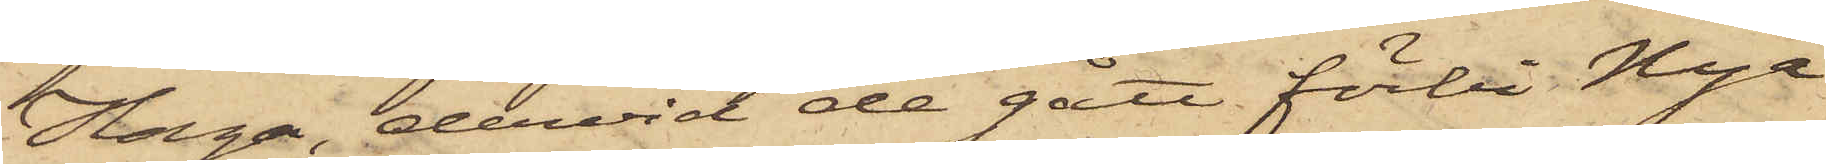Haga, dervid de gått förbi Nya
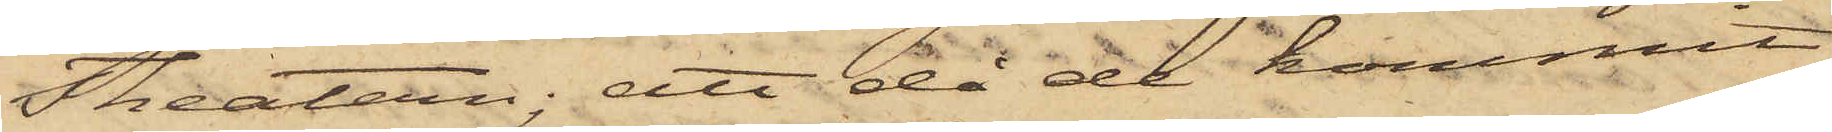Theatern; att då de kommit
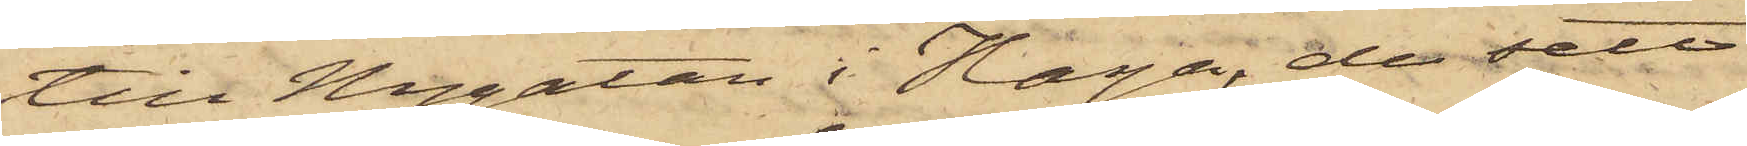till Nygatan i Haga, de sett
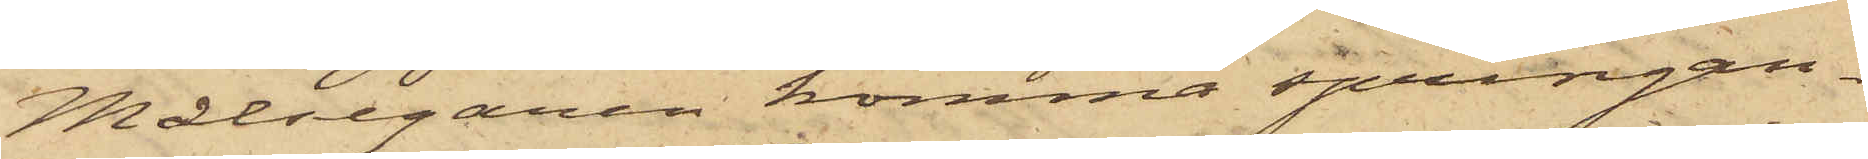Målsegaren komma springan¬
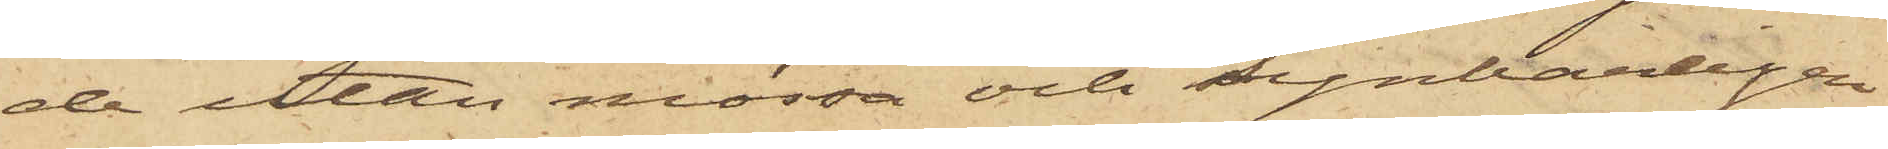de utan mössa och synbarligen
